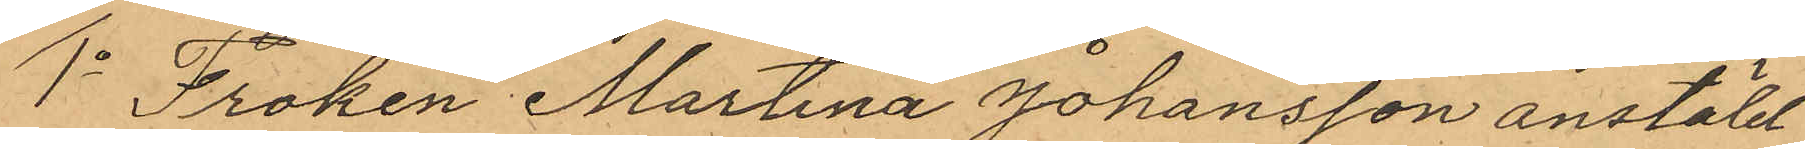1o Fröken Martina Johansson anstäld
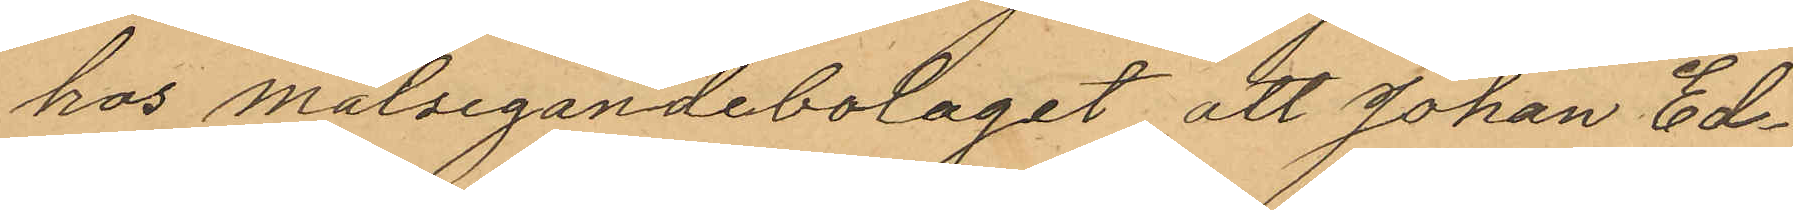hos målsegandebolaget att Johan Ed¬
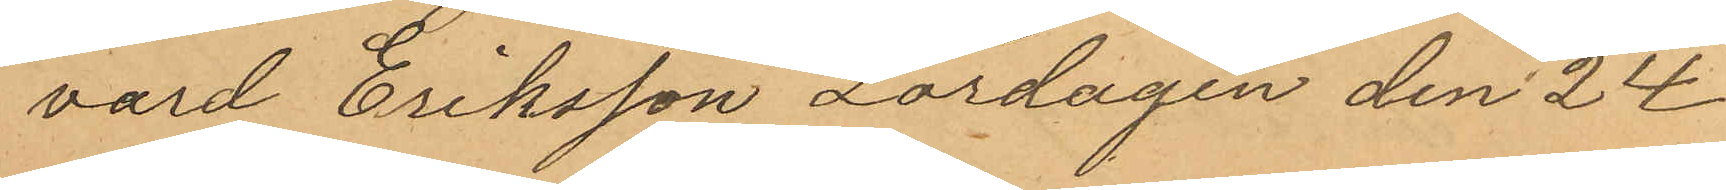vard Eriksson Lördagen den 24
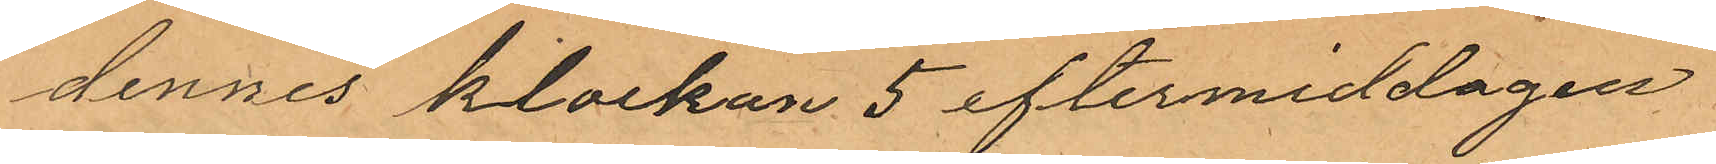dennes klockan 5 eftermiddagen
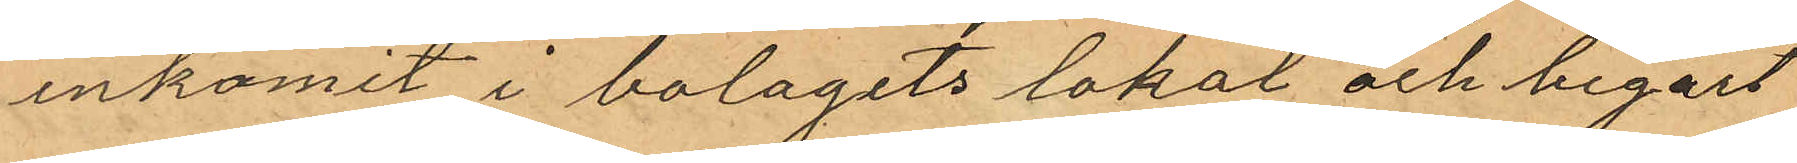inkomit i bolagets lokal och begärt
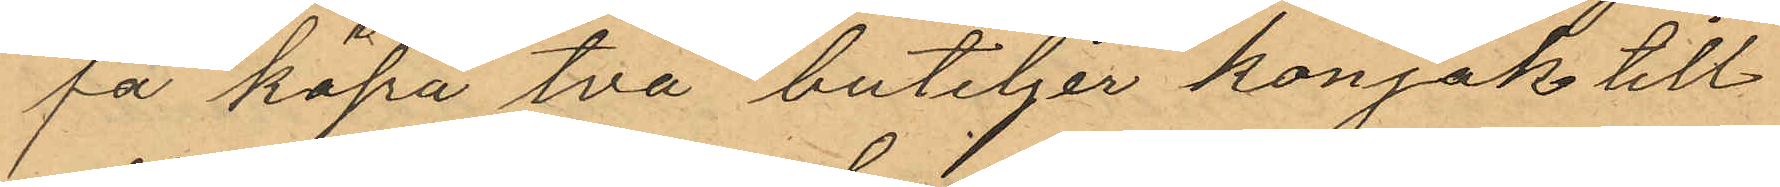få köpa två buteljer konjak till
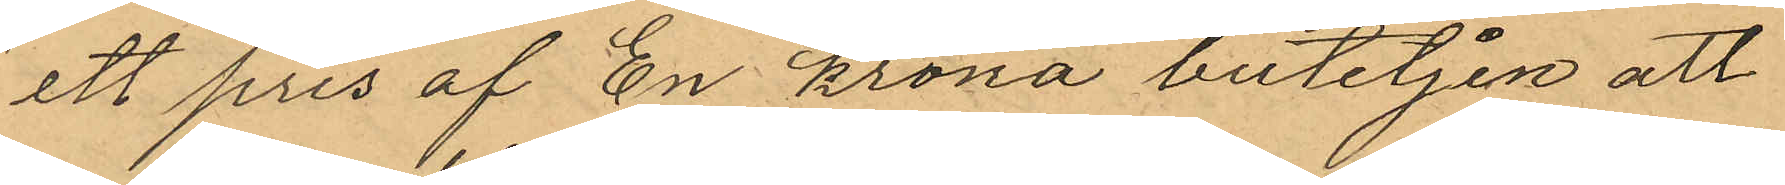ett pris af En krona buteljen att
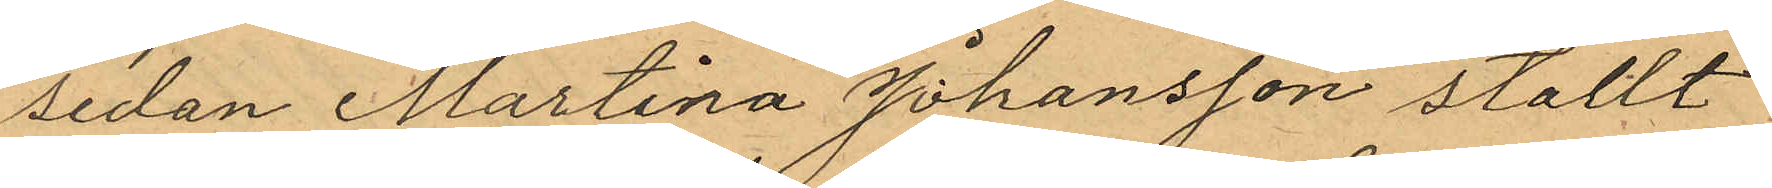sedan Martina Johansson ställt
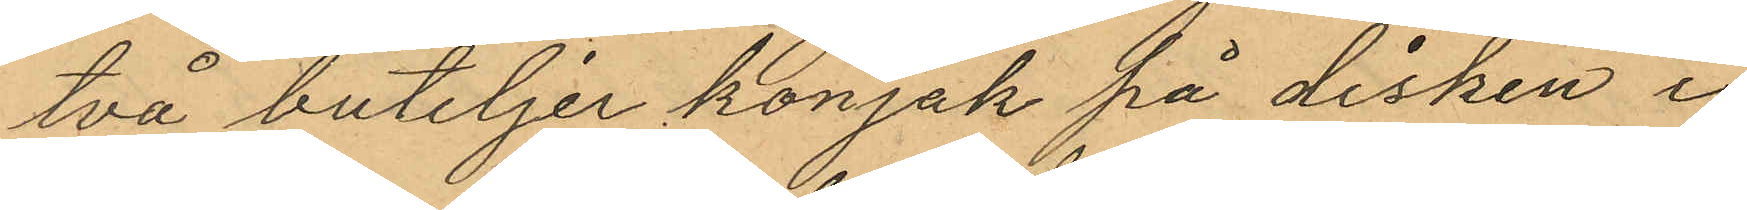två buteljer konjak på disken i
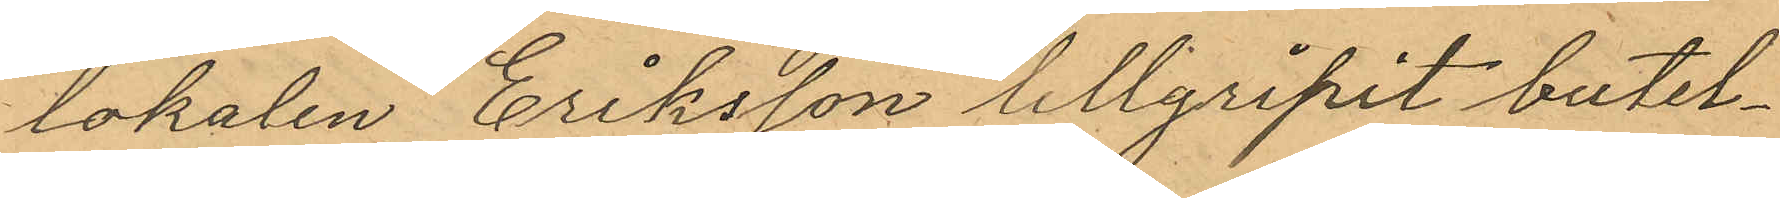lokalen Eriksson tillgripit butel¬
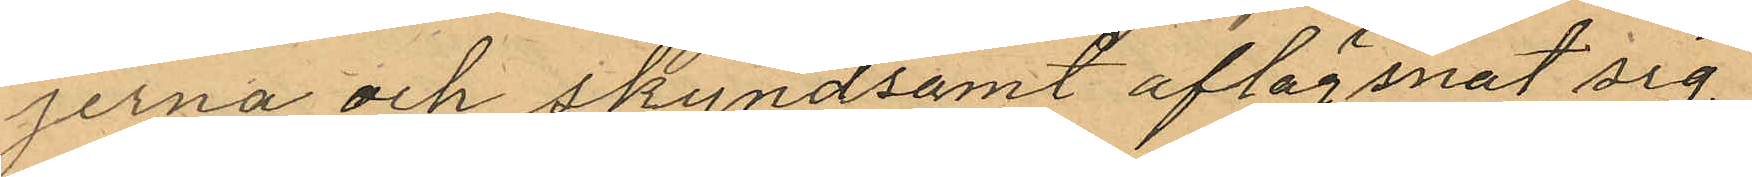jerna och skyndsamt aflägsnat sig
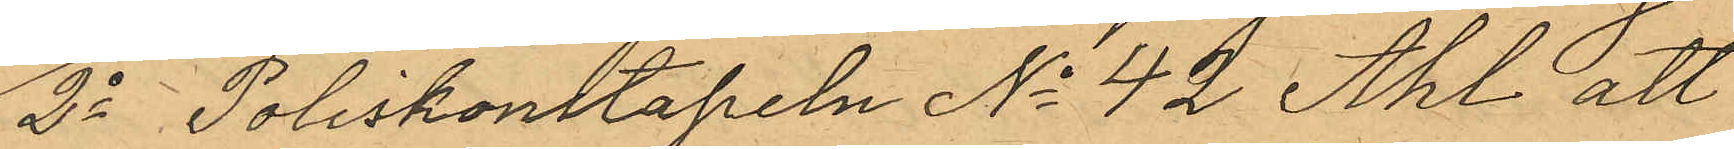2o Poliskonstapeln No 42 Ahl att
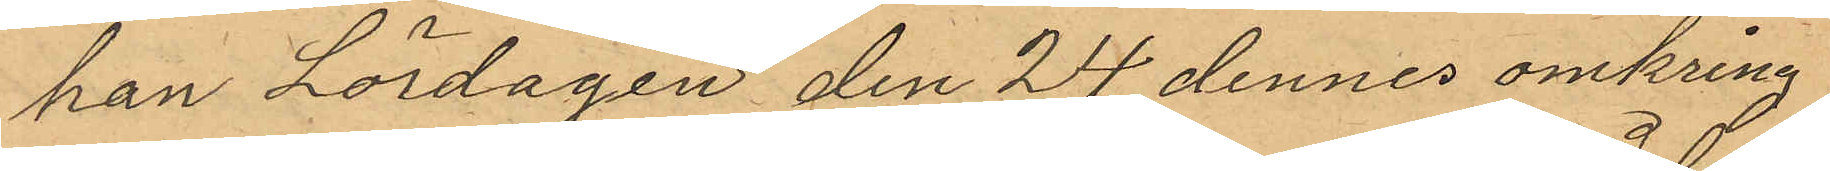han Lördagen den 24 dennes omkring
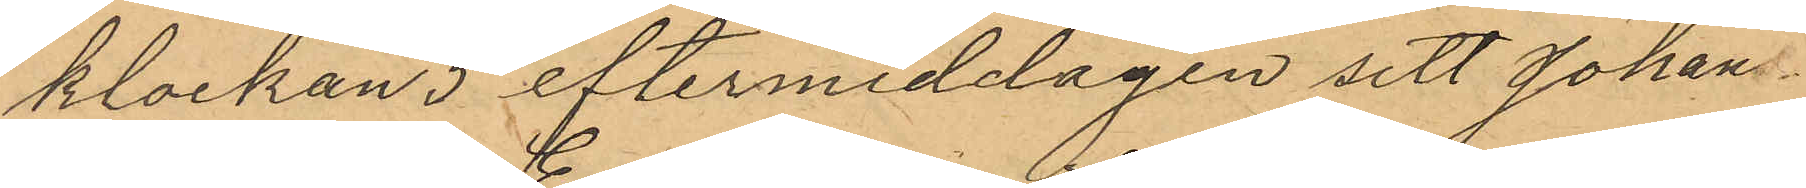klockan 5 eftermiddagen sett Johan
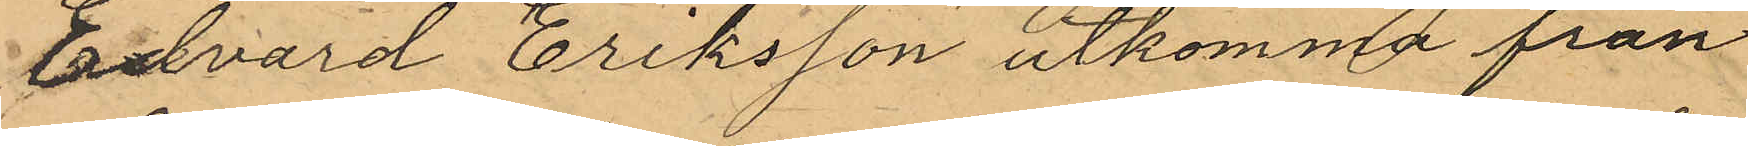Edvard Eriksson utkomma från
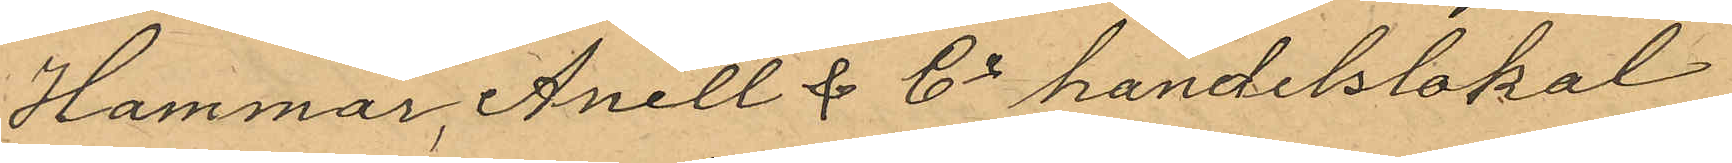Hammar, Anell & Co handelslokal
